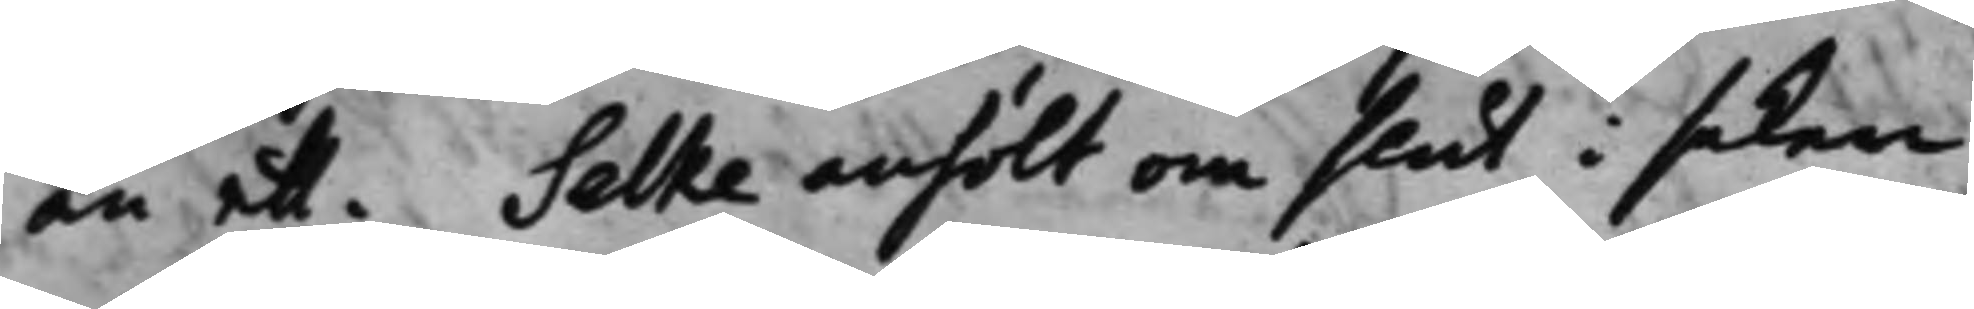än ett. Selke anhölt om slut i saken
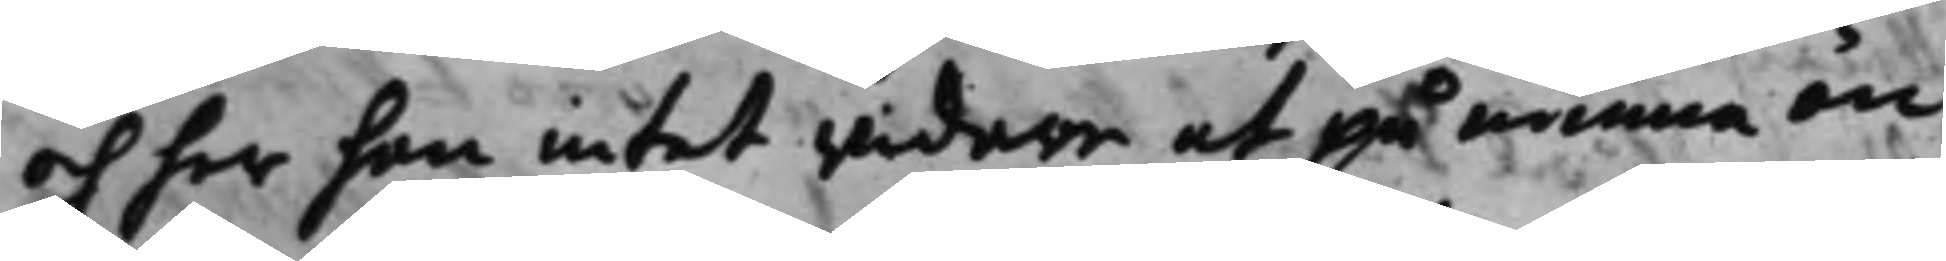och har han intet widare at påminna än
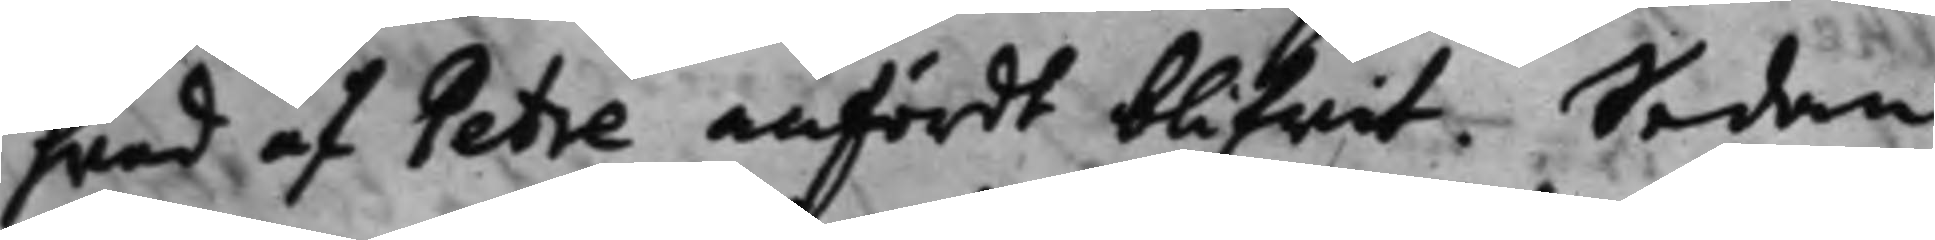hwad af Petre anfördt blifwit. Sedan
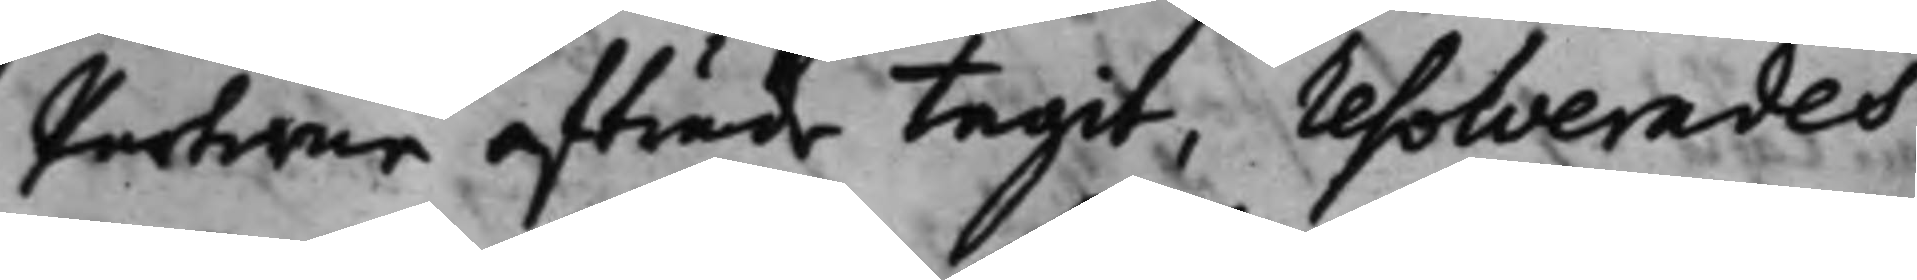Parterne afträde tagit, resolverades,
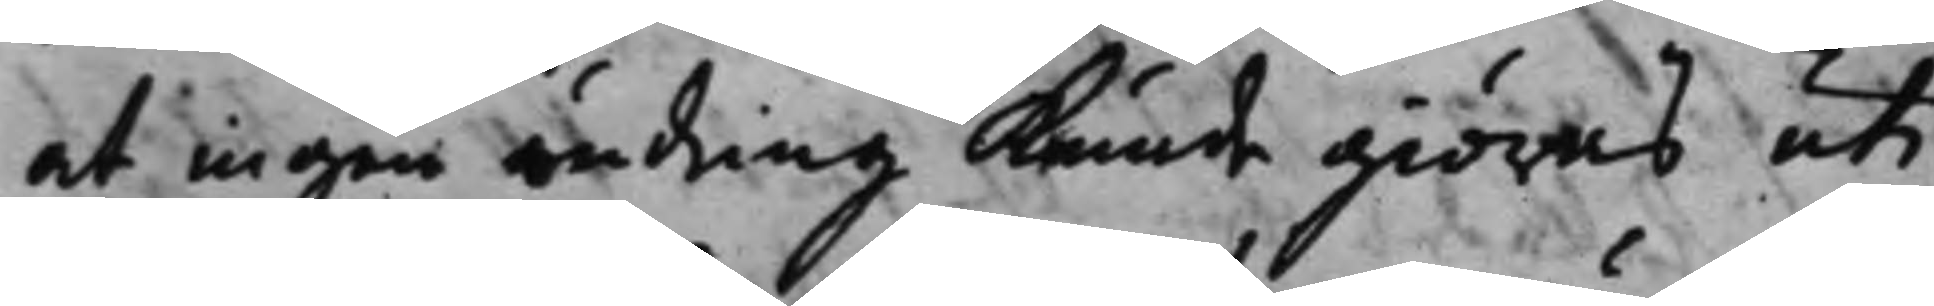at ingen ändring kunde giöras uti
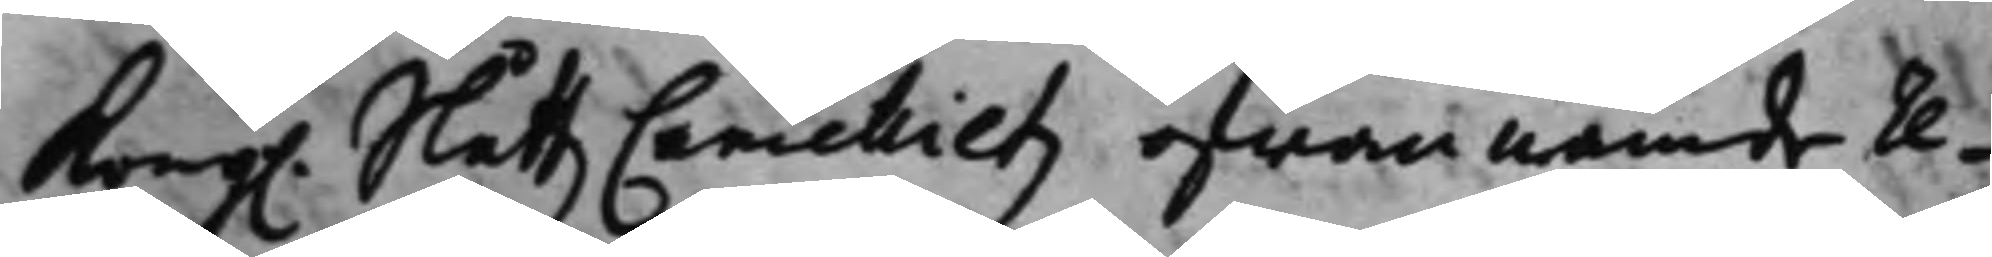Kong. SlåttzCancellietz ofwannämde re¬ 
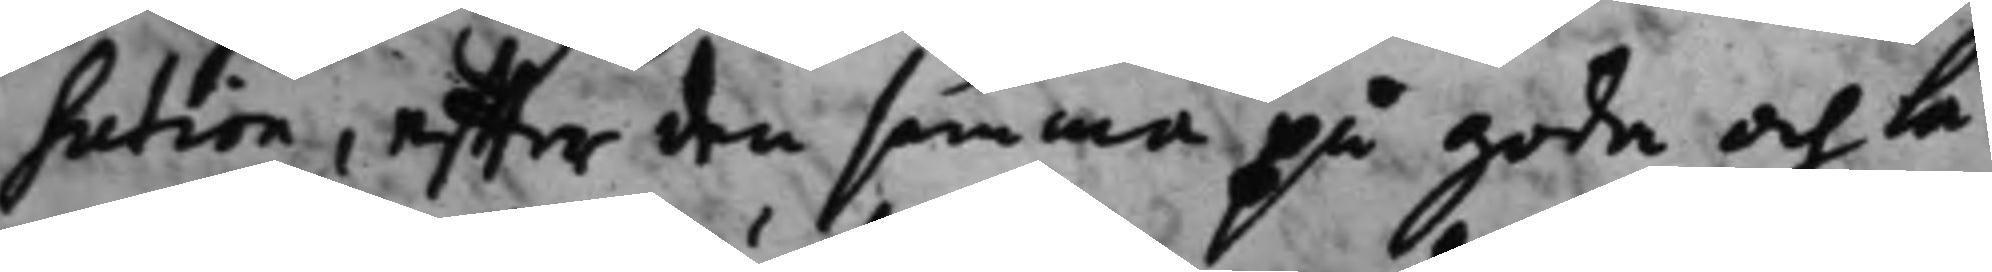sution, effter den samma på goda och la¬
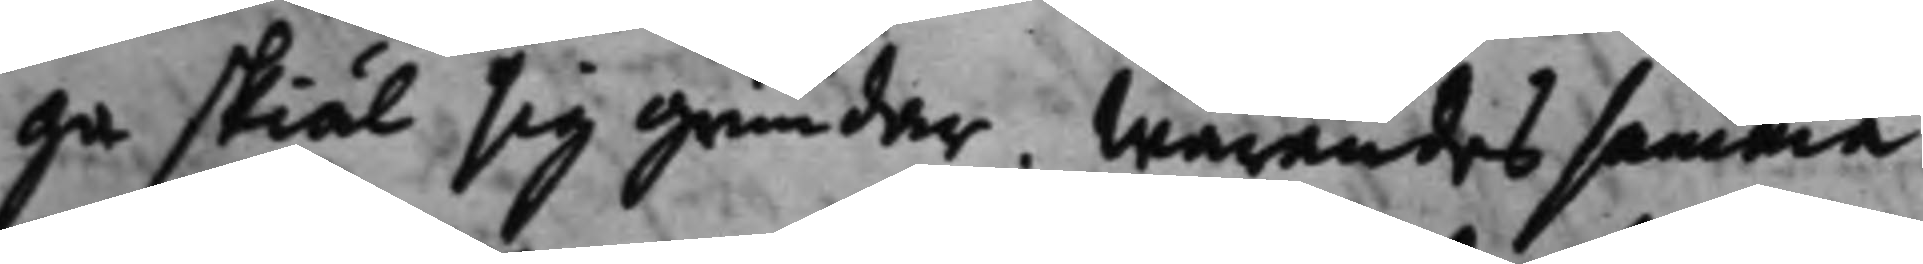ga skiäl sig grundar. Warandes samma
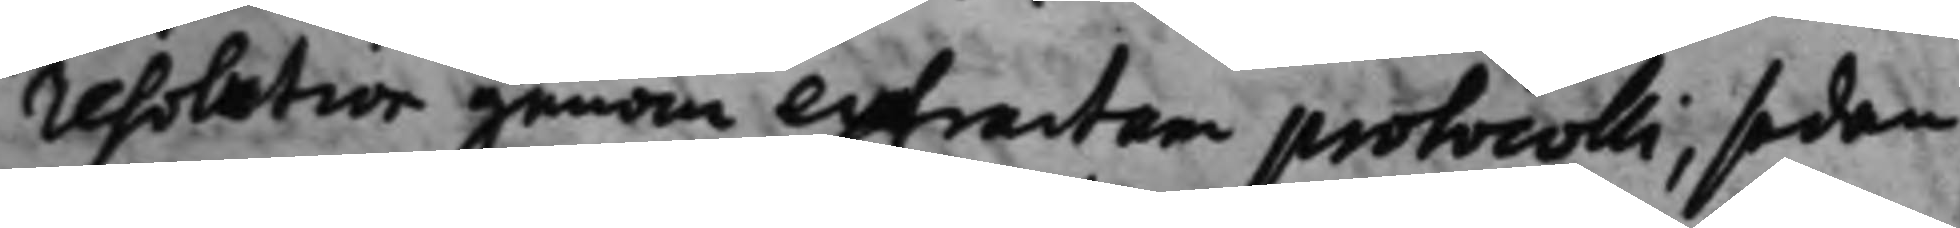resolution genom extractum protocolli, sedan
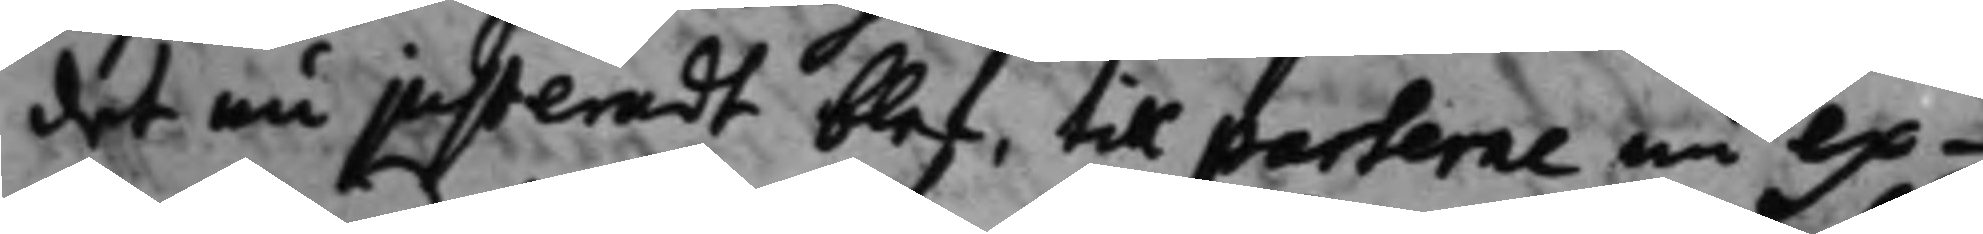det nu justeradt blef, till parterne nu ex¬
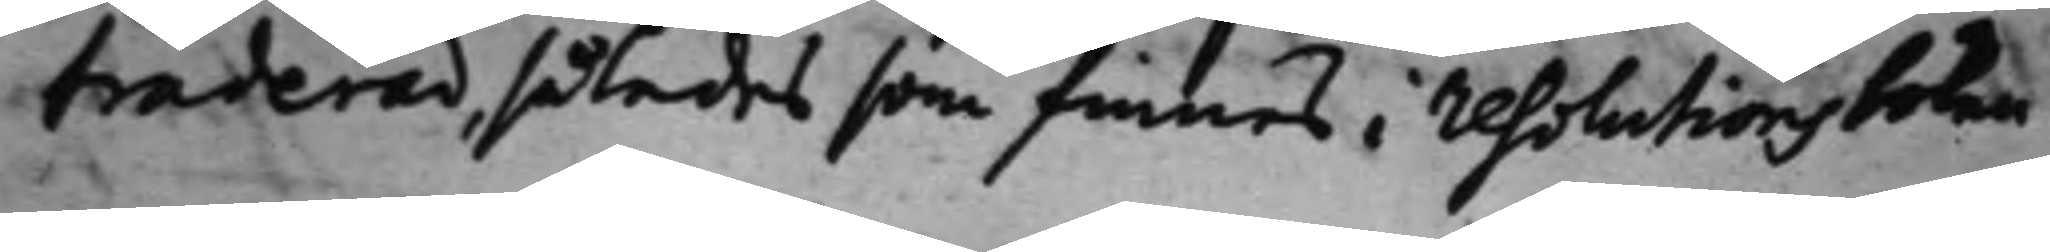traderad, således som finnes i resolutionsboken,
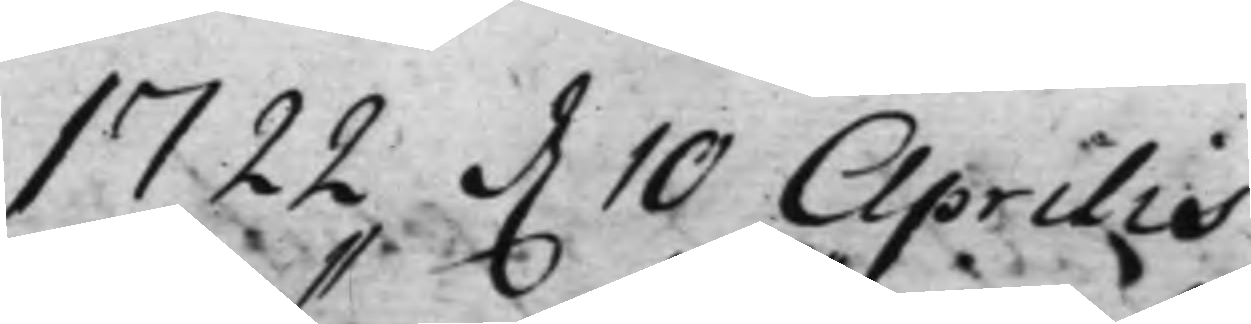1722 d. 10 Aprilis 
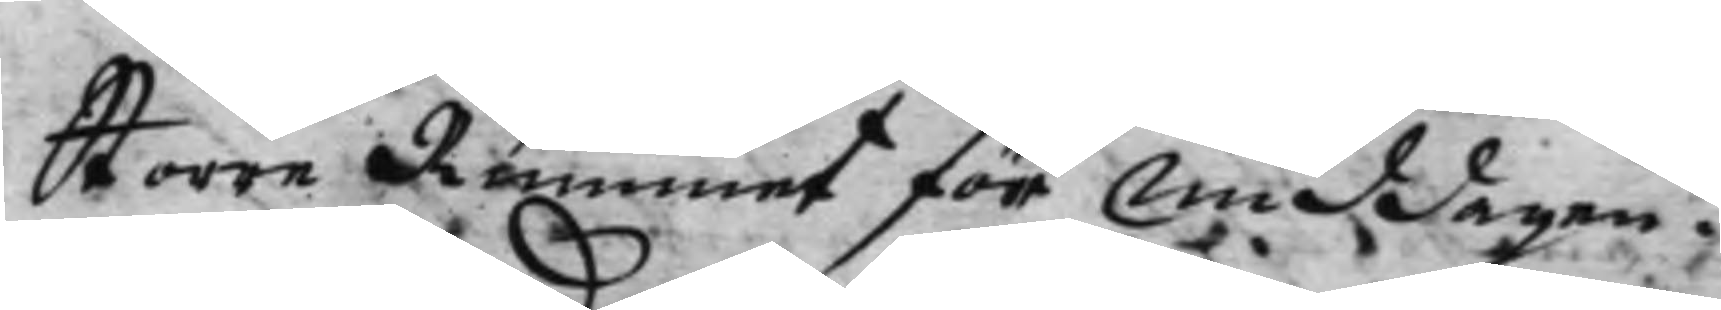Större Rummet före Middagen.
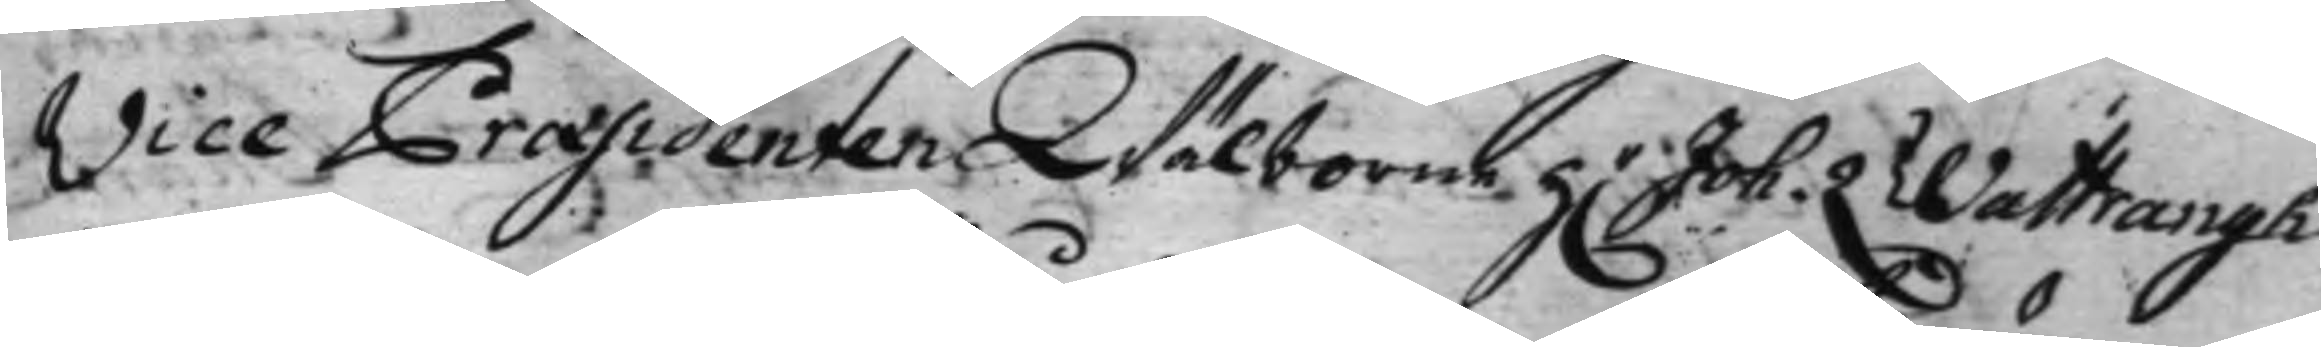Vice Præsidenten Wälborne H.r Joh. Wattrangh 
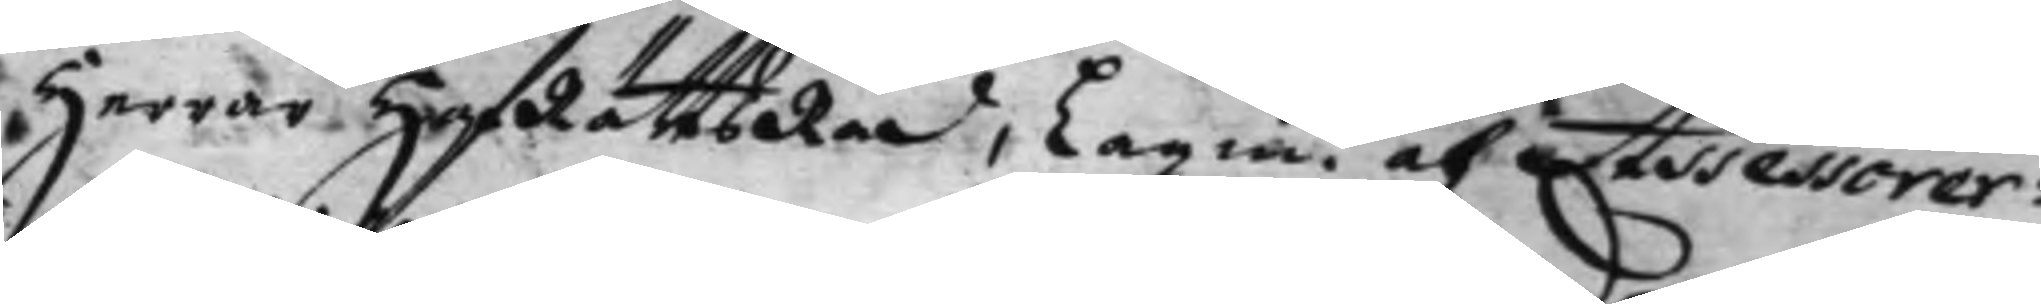Herrar HofRättsRåd, Lagm. och Assessorer:
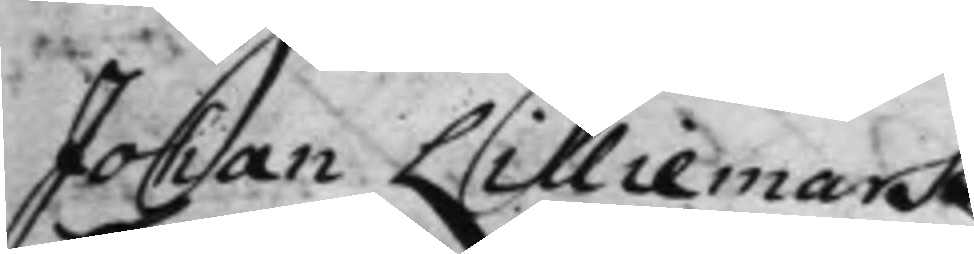Johan Lilliemark.
